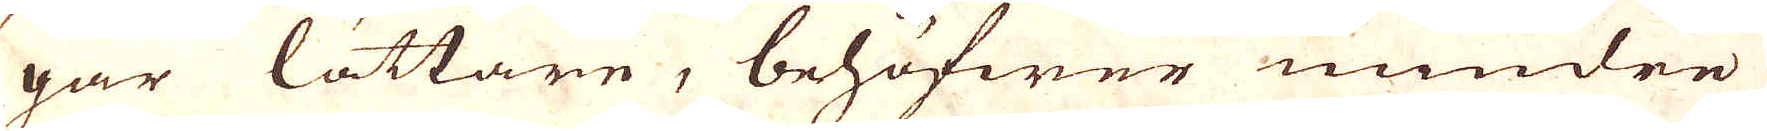går lättare, behöfwer mindre
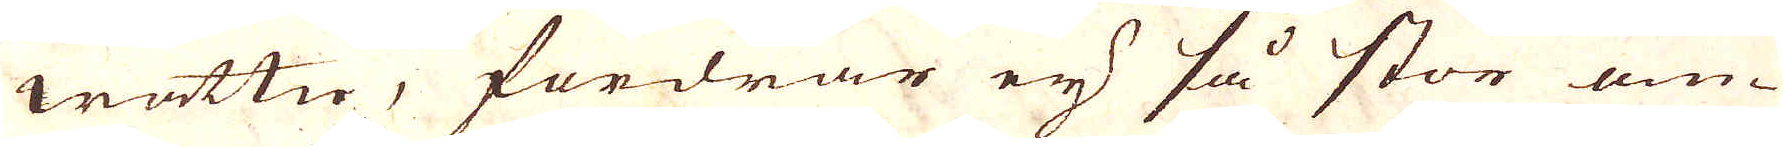wattn, fordrar eij så stor om-
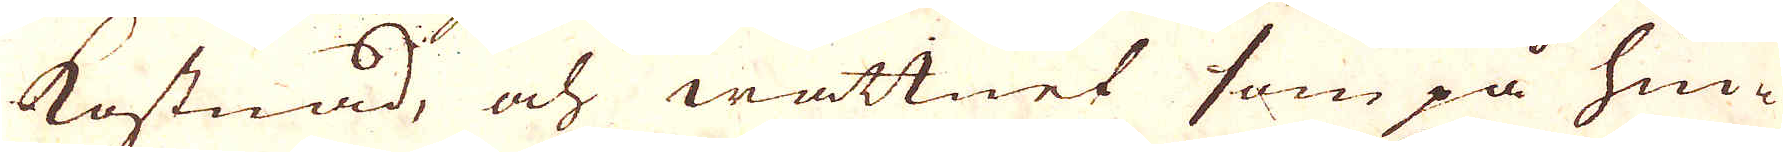kostnad, och wattnet som på hiu-
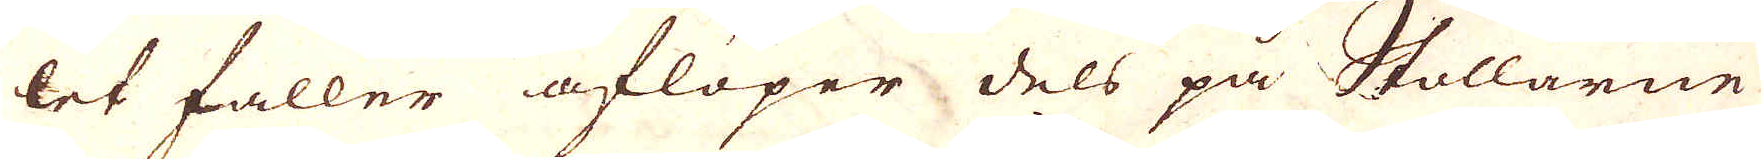let faller aflöper dels på Stollarne
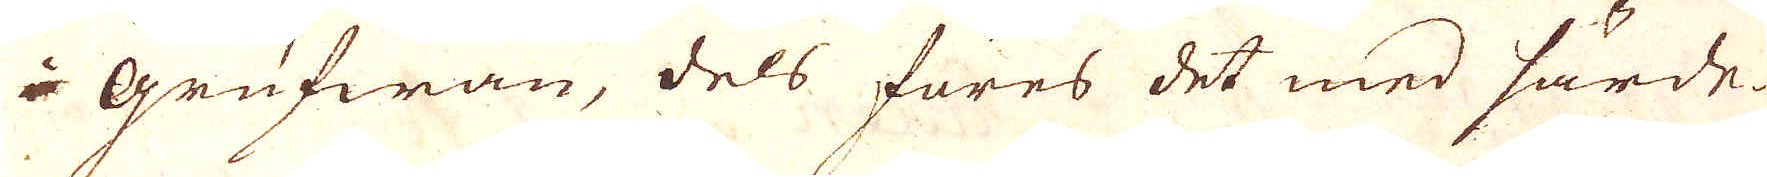i grufwan, dels föres det med särde-
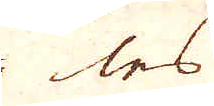les
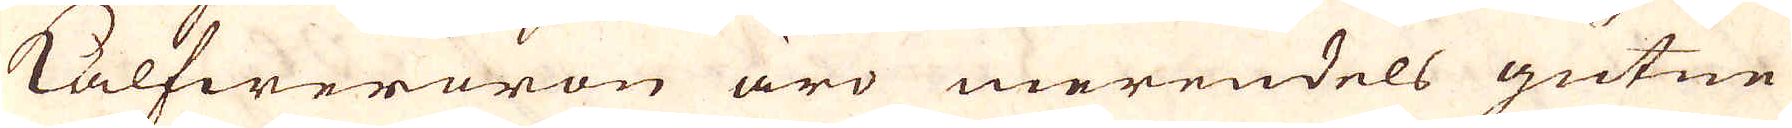Kålfwerören äro merendels gutne
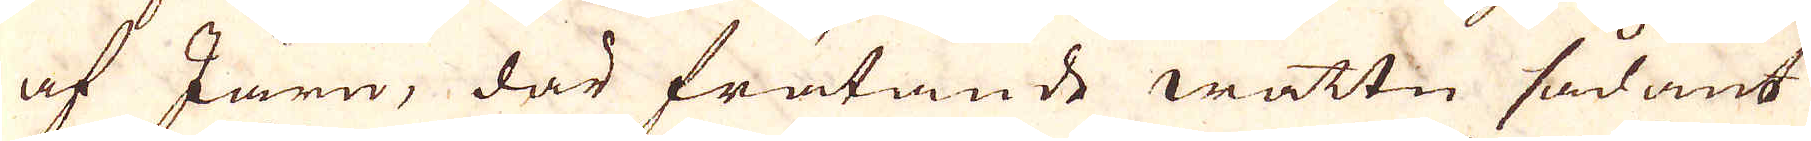af Järn, där frätande wattn sådant
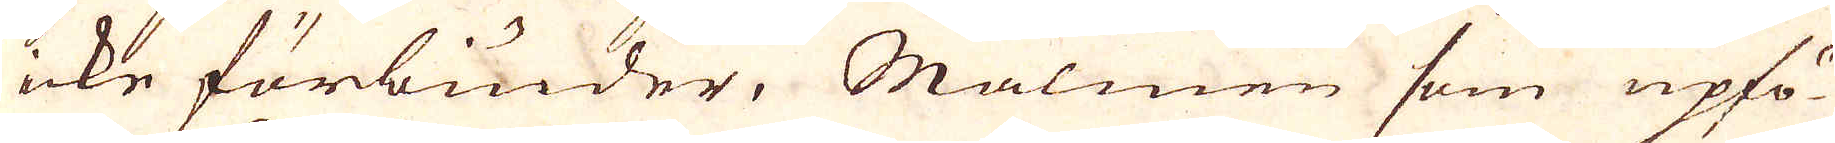icke förbiuder. Malmen som upfö-
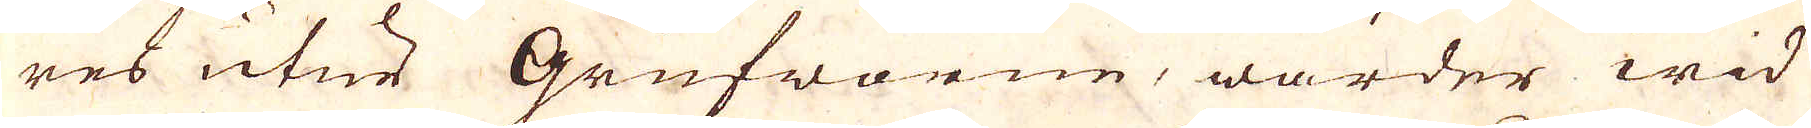res utur Grufworne, warder wid
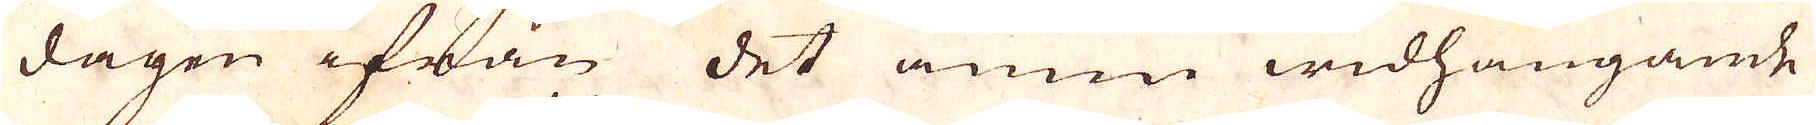dagen ifrån det ännn widhängande
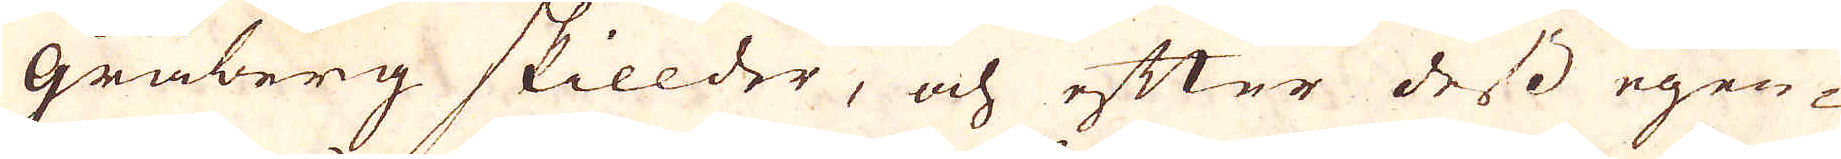gråberg skillder, och efter dess egen-
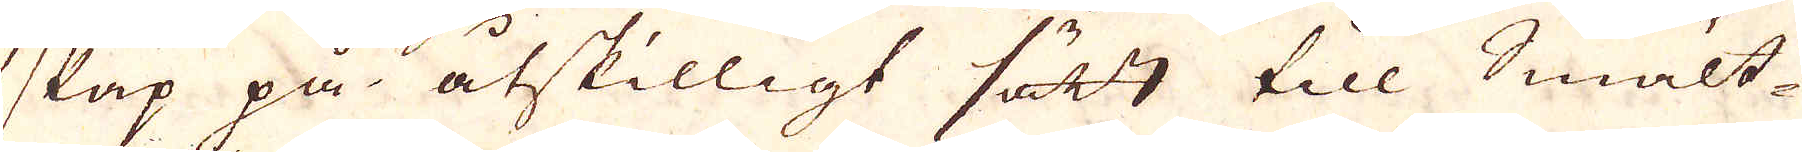skap på åtskilligt sätt till Smält-
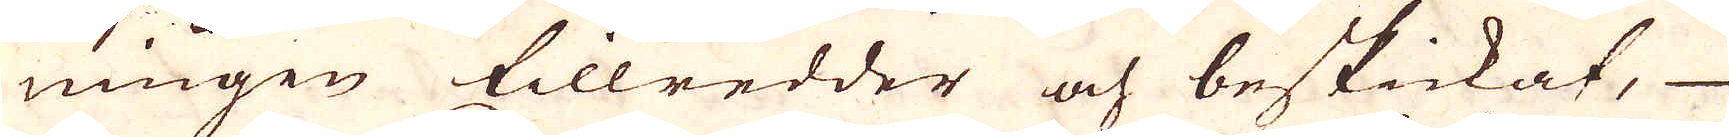ningen tillredder och beskickat,
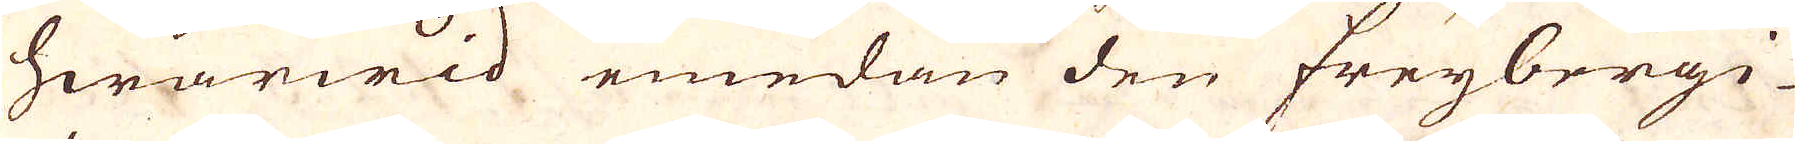hwarwid emedan den freybergi-
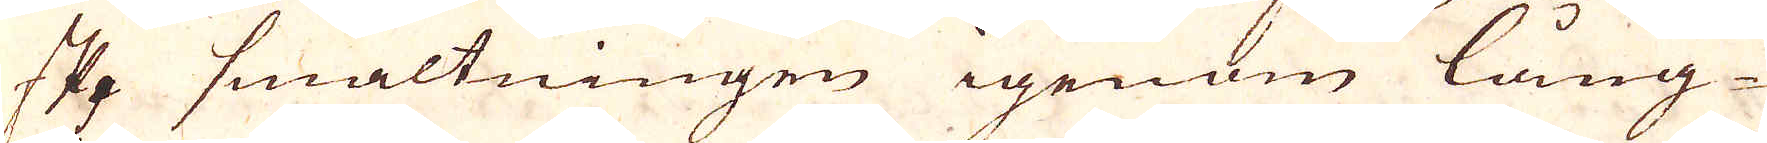ske smältningen igenom lång-
